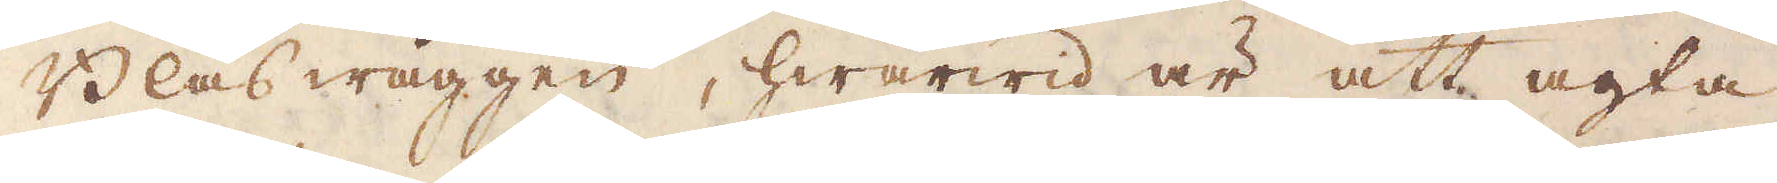Blås wäggen, hwarwid är att agta
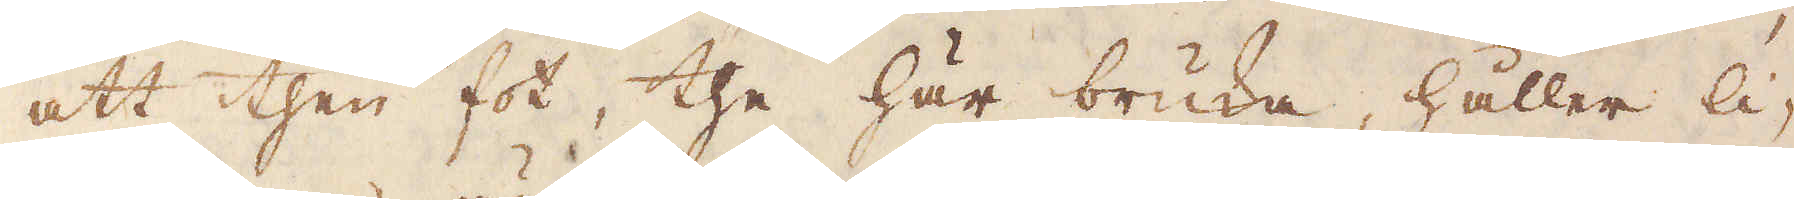att then fot, the här bruka, håller li-
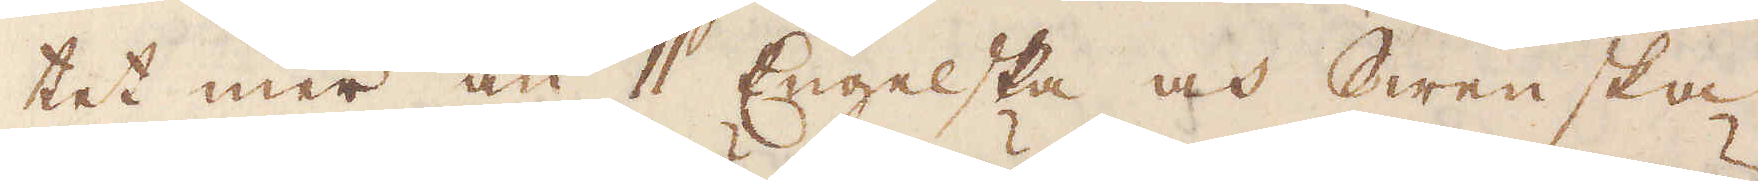tet mer än 11 Engelska och Swenska
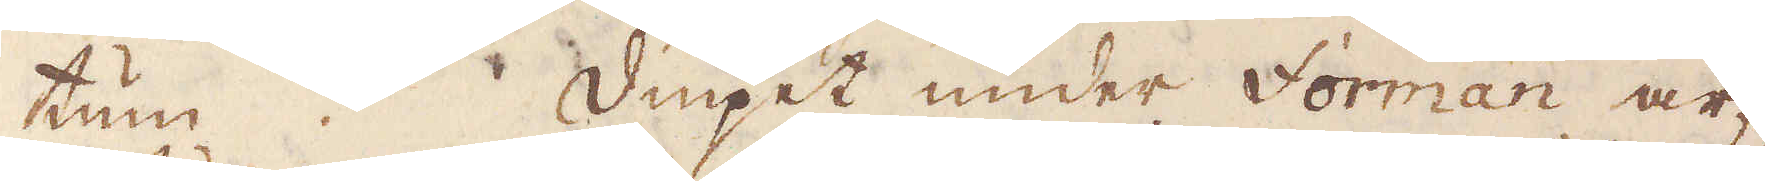tum. Diupet under Forman är
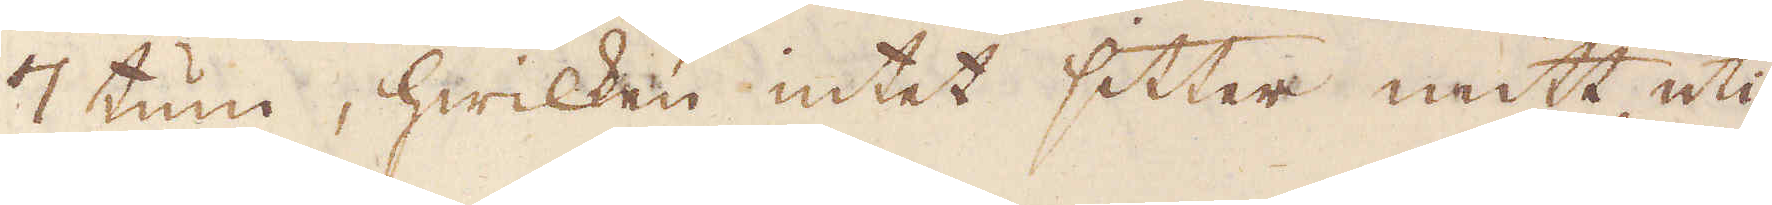7 tum, hwilken intet sitter mitt uti
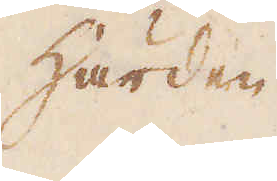härden
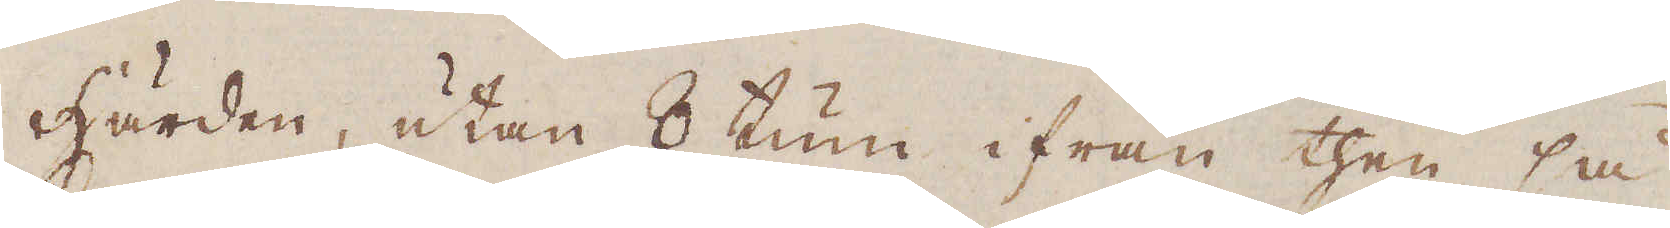härden, utan 8 tum ifrån then så
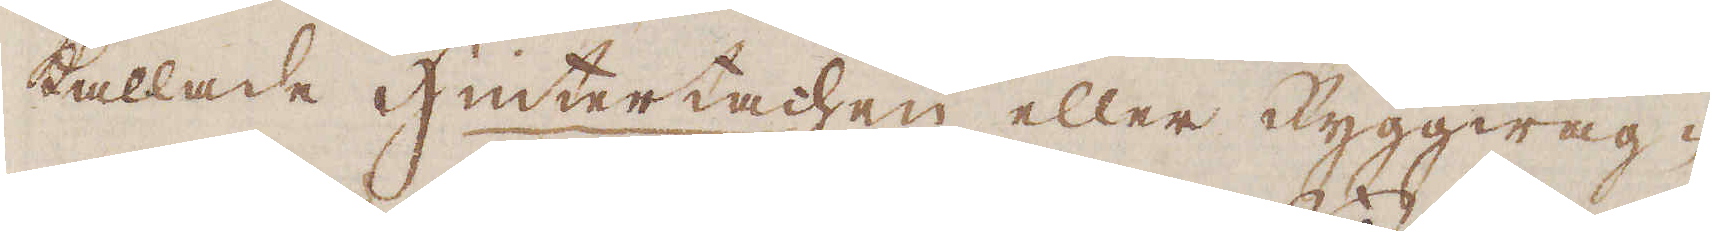kallade Hintertachen eller Ryggwäg-
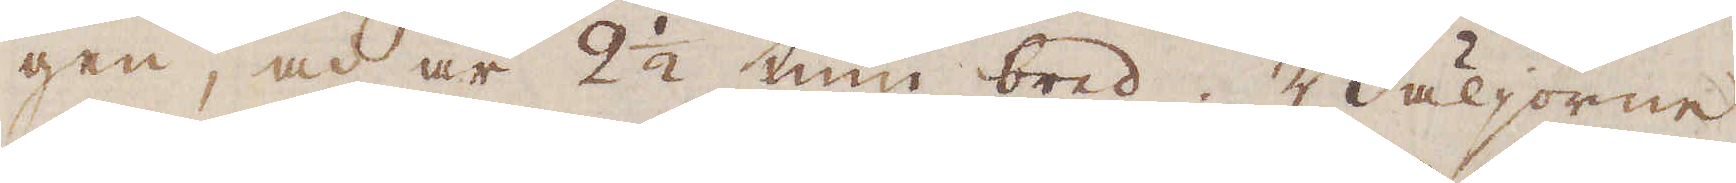gen, och är 2 1/2 tum bred. Bäljorne
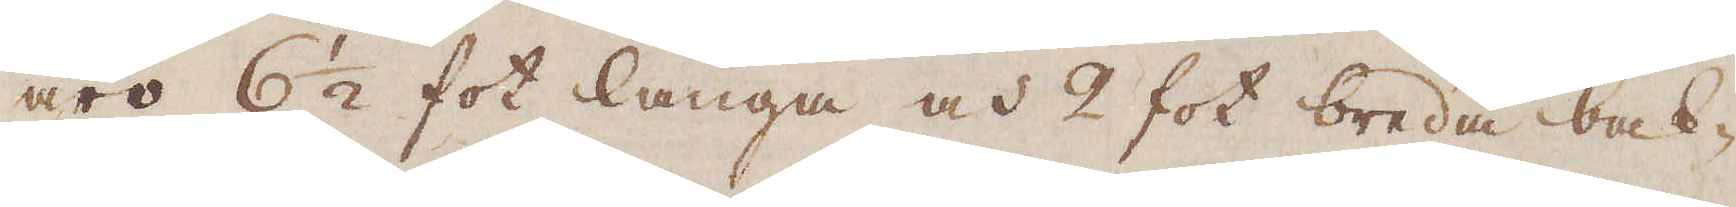äro 6 1/2 fot långa och 2 fot breda bak-
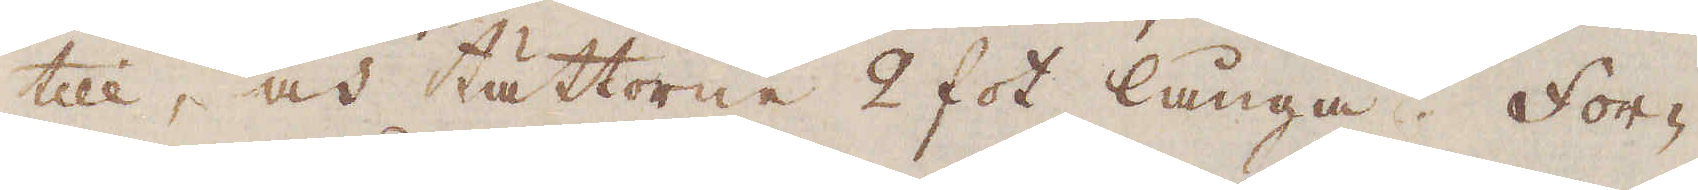till, och tättorne 2 fot långa. For-
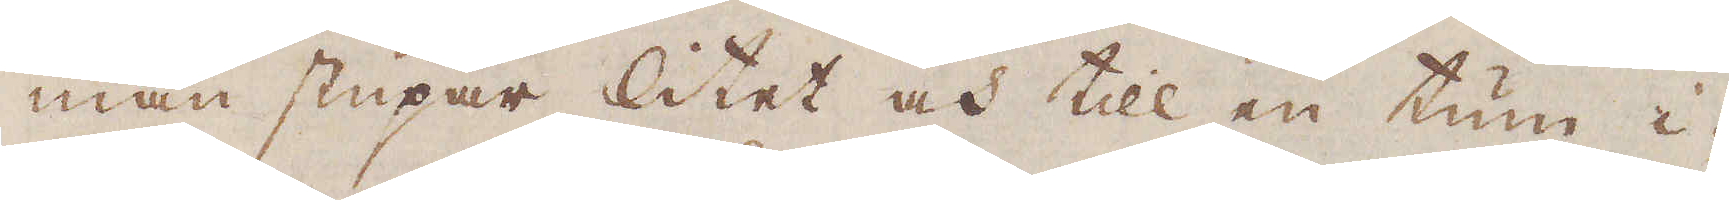man stupar litet och till en tum i-
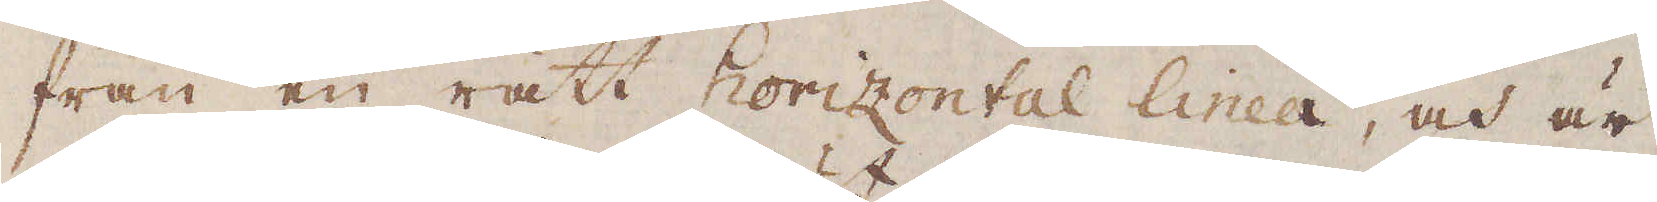från en rätt Horizontal linea, och är
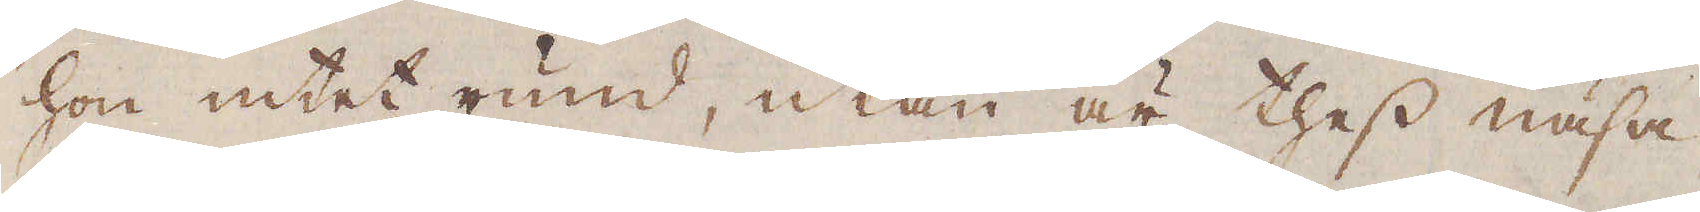hon intet rund, utan är thess näsa
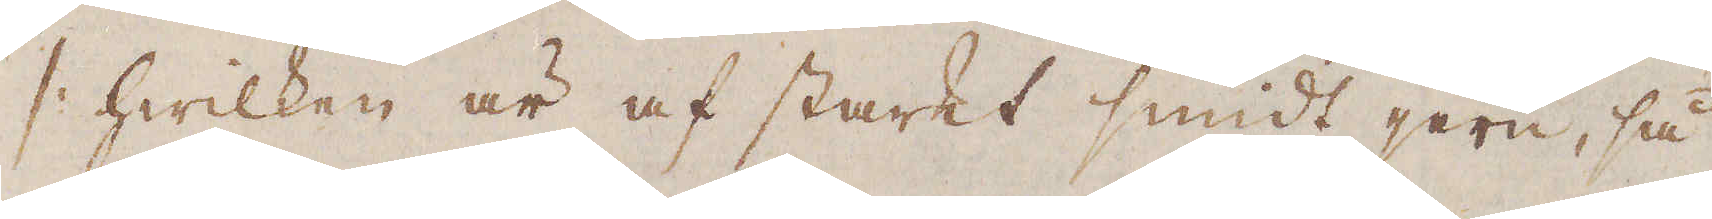/: hwilken är af starkt smidt jern, så
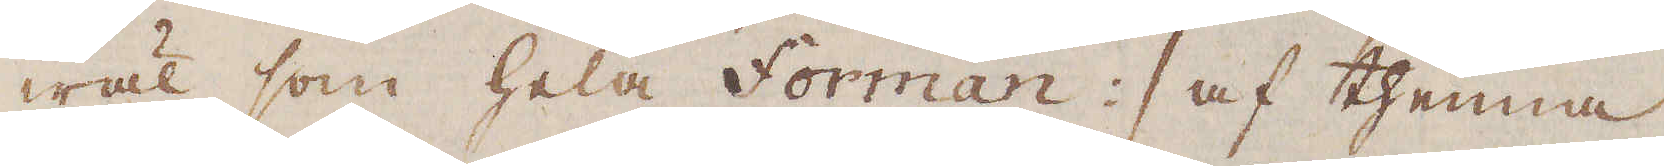wäl som hela Forman :/ af thenna
